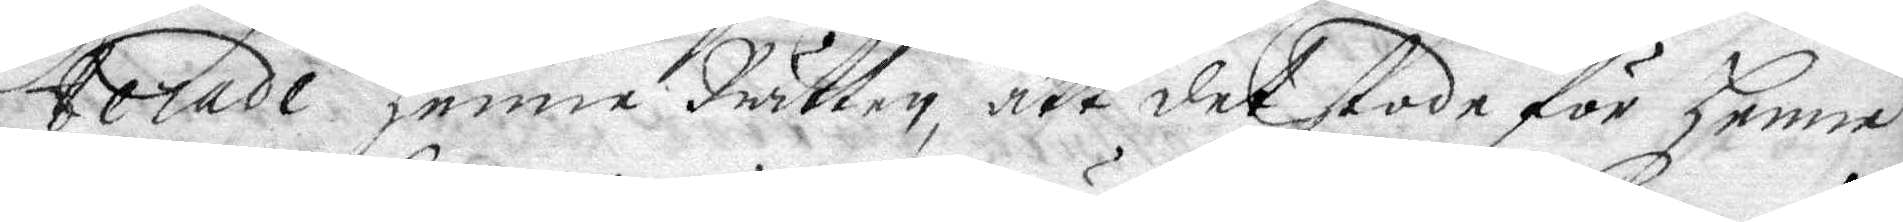terade henne Rätten, att det stode för henne
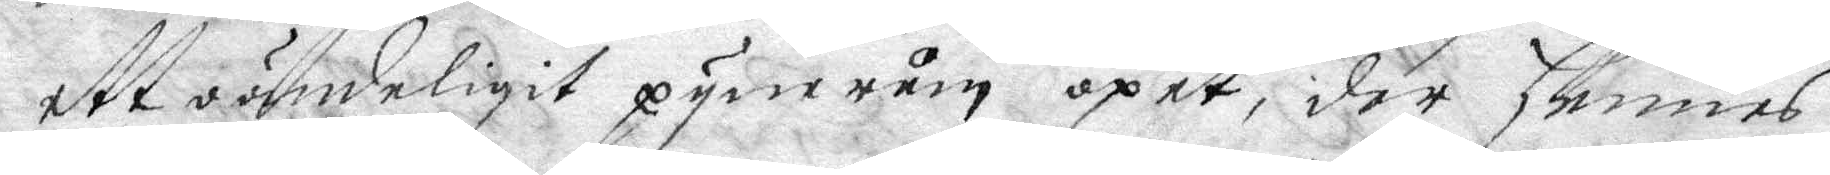att oändeligit pynerum öpet, det hennes
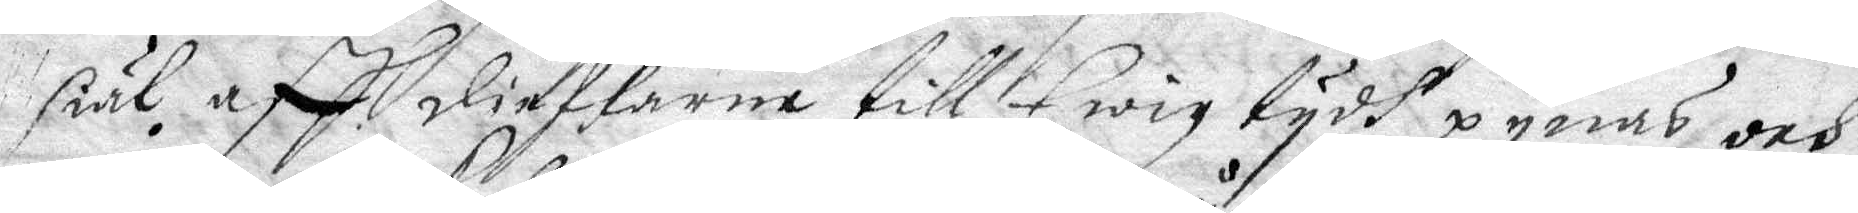siäl aff ieflarne till Ewig tydh pynas och
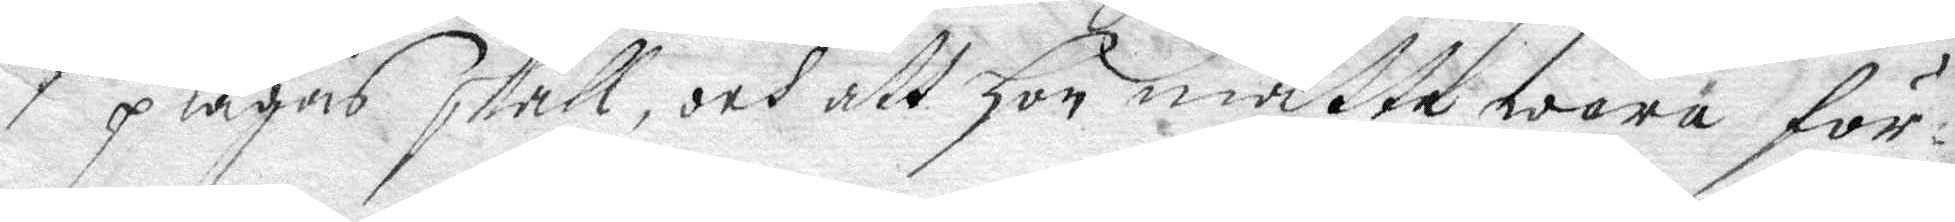pågas skal, och att hon måtte wara för¬
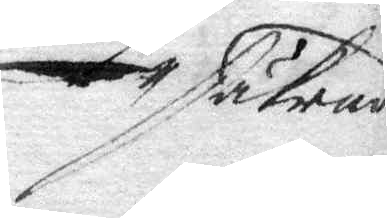säkrad
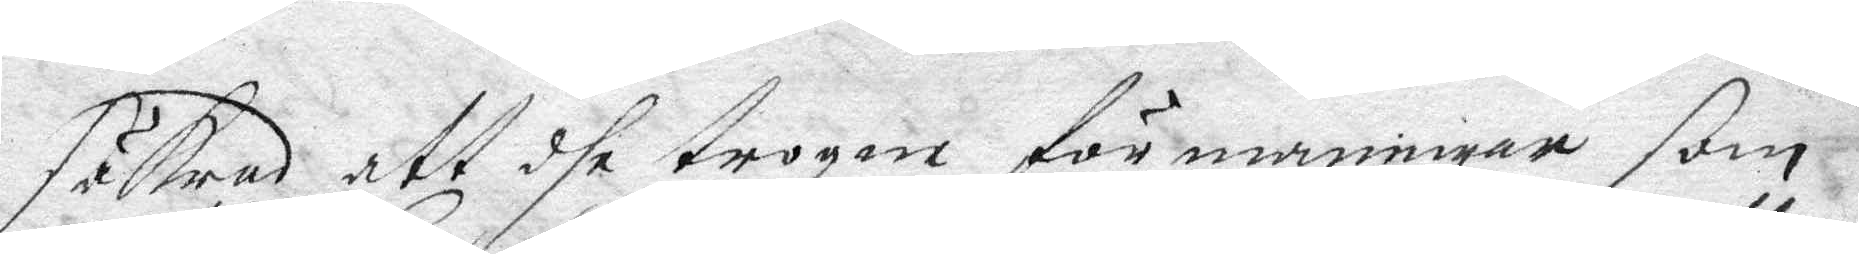säkrad att dhe trogne förmaningar som
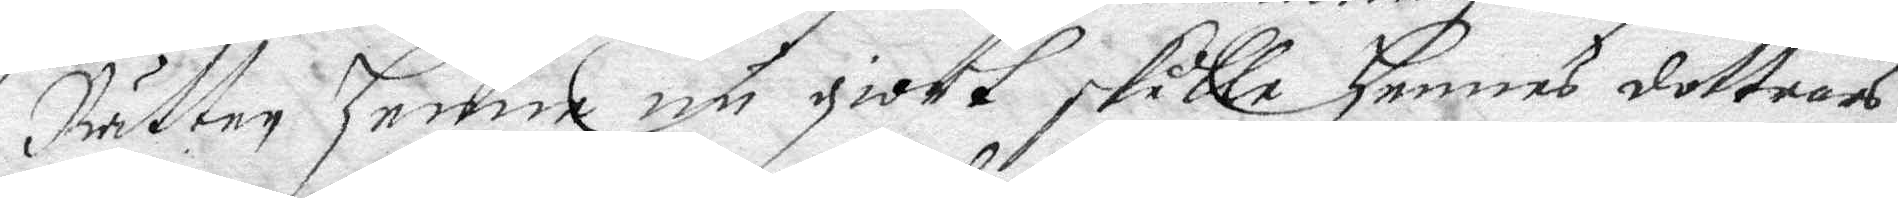Rätten henne nu giort skulle hennes dottrors
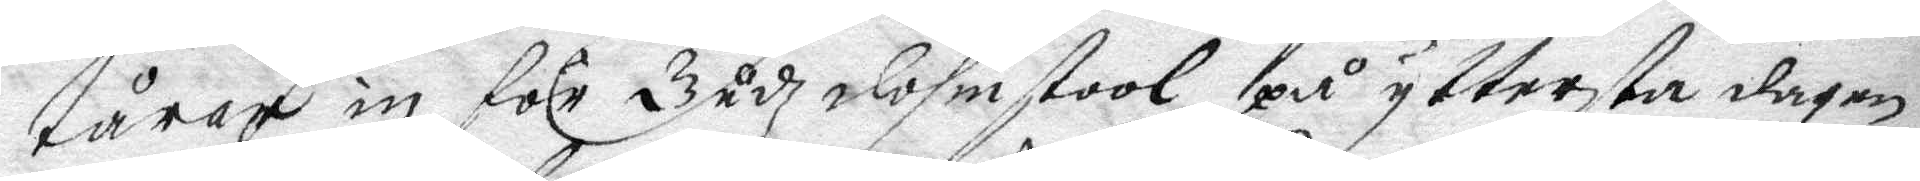tårar in för Gudz dohmstool på yttersta dagen
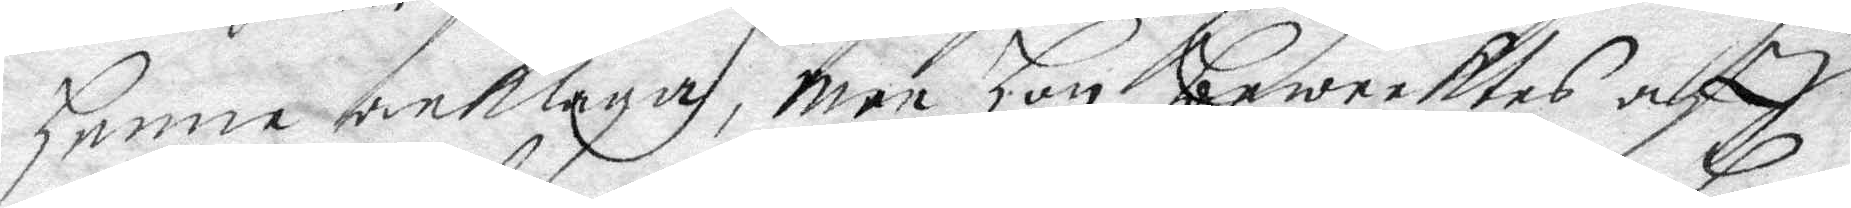henne beklaga, men hon bewecktes aff
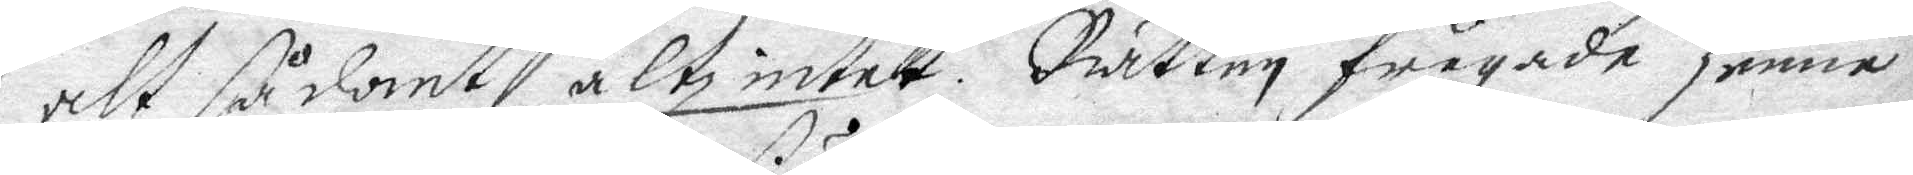att sådant altz intet. Rätten frågade henne
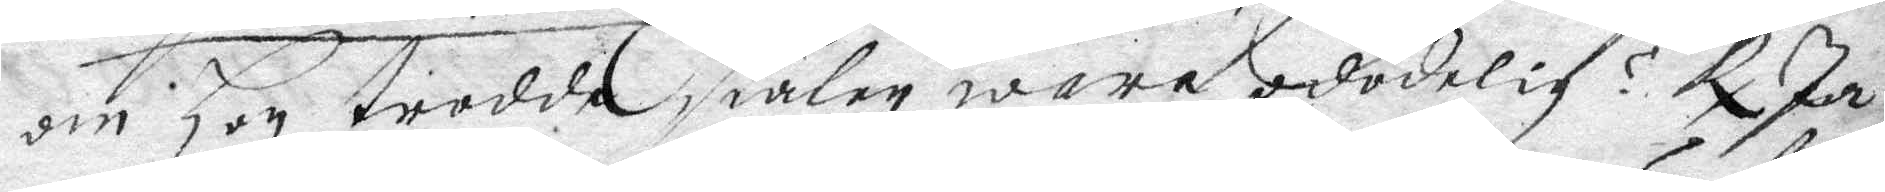om hon trodde siälen wara odödelig? Rx Ja
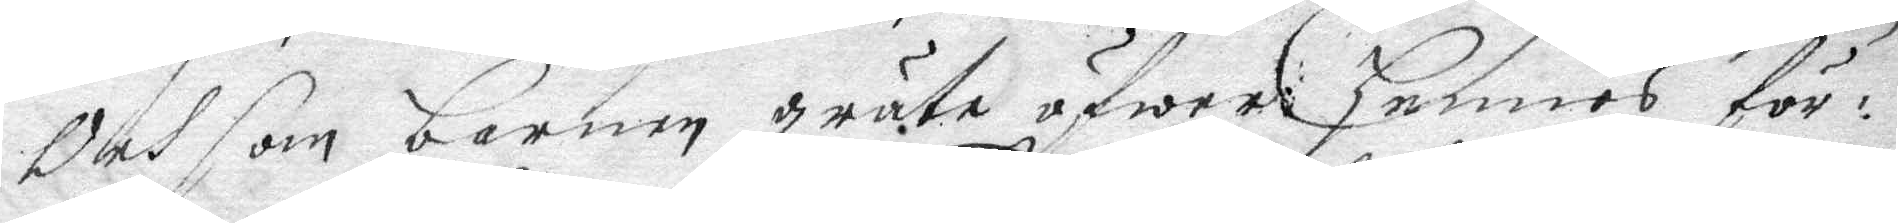Och som barnen gråte öfwer hennes för¬
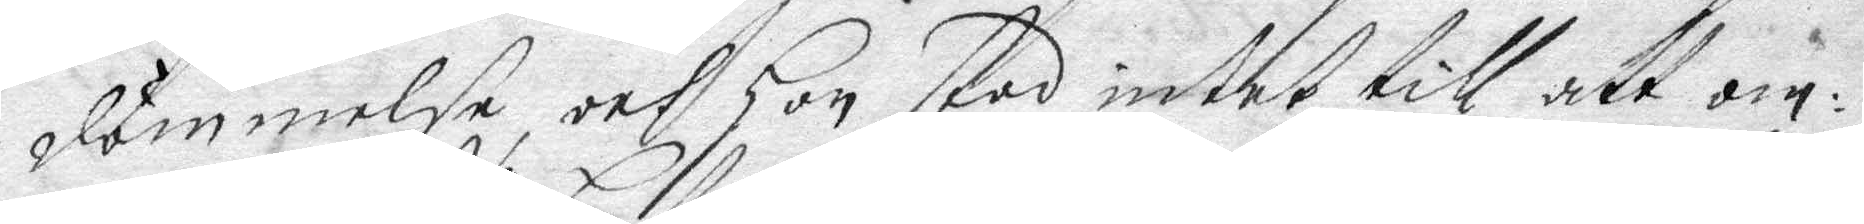dömmelse, och hon stod intet till att om¬
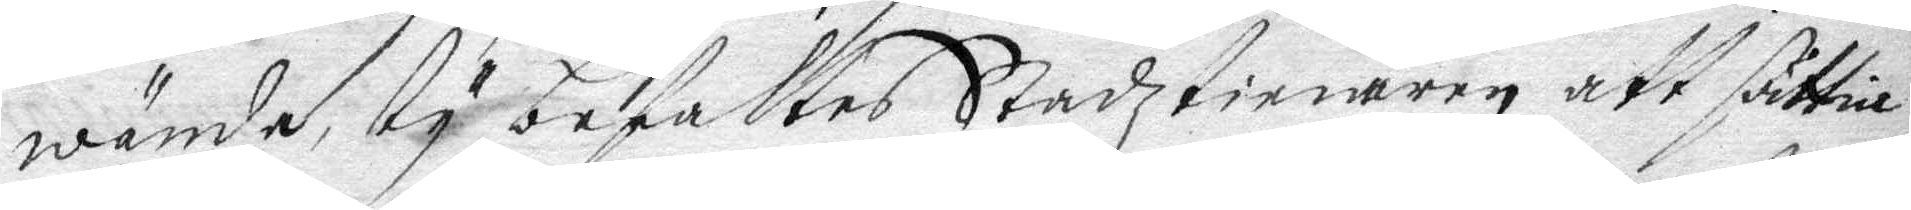wända ty befalles Stadztienaren att sättia
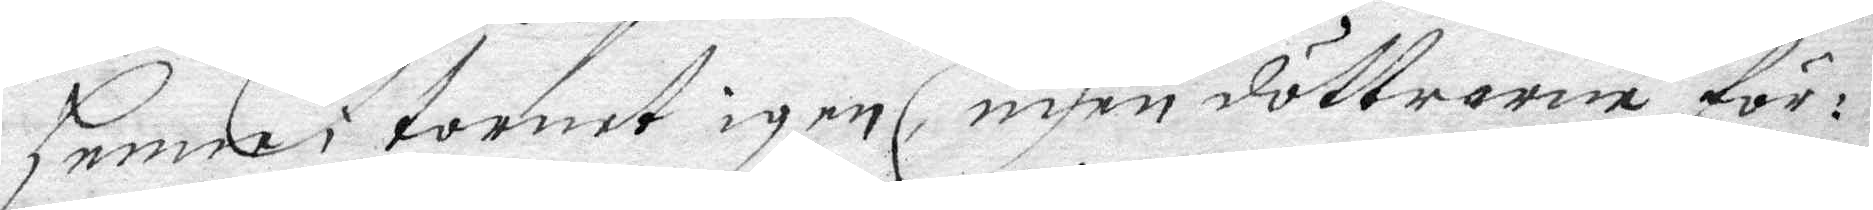henne i tornet igen, men döttrarne för¬
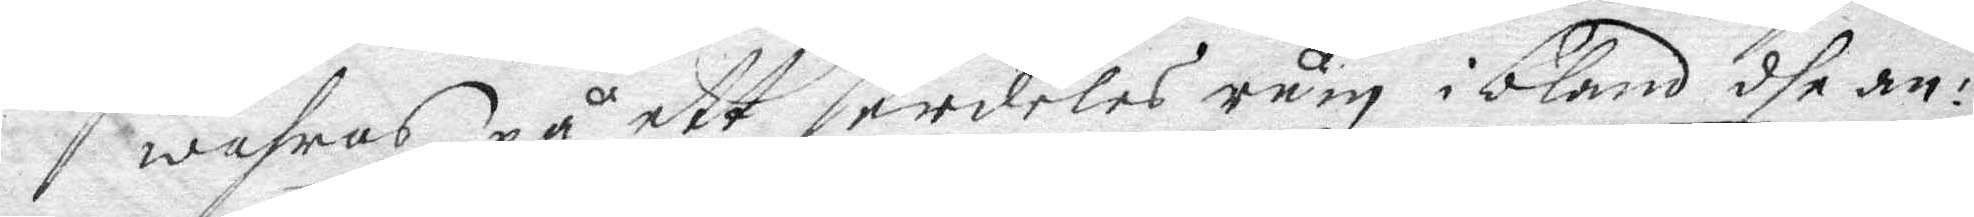wahras på ett serdeles rum ibland dhe an¬
